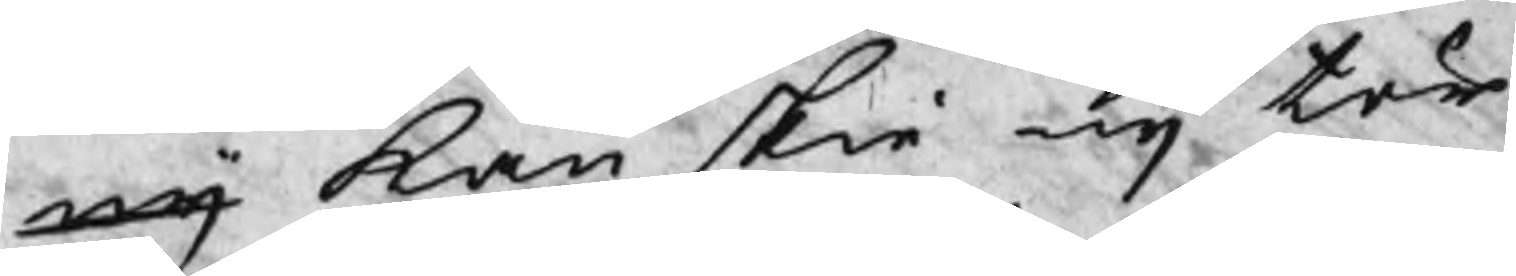eij kan skie eij tör
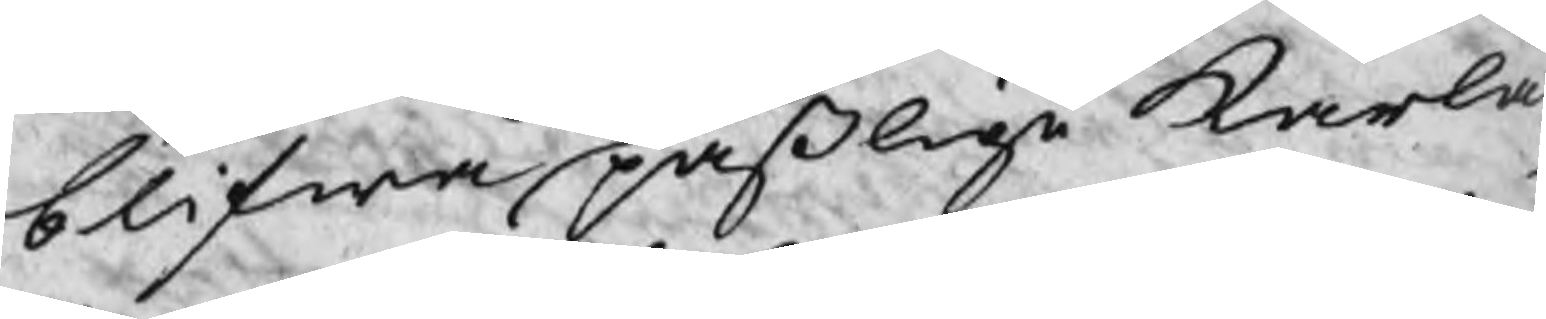blifwa paßlige karlar,
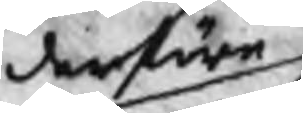derföre
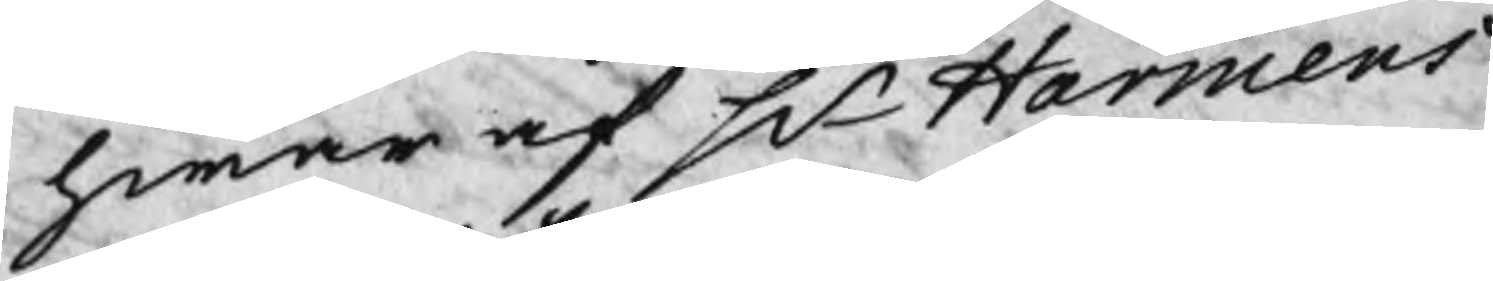hwar af Hr Harmens
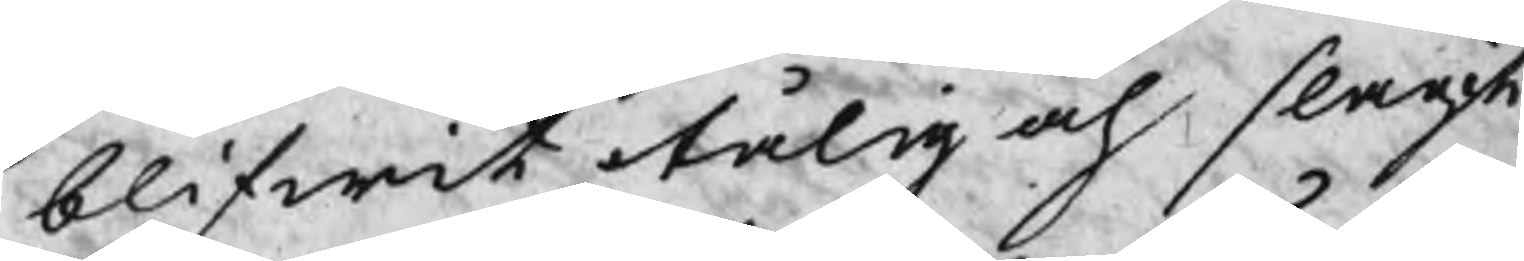blifwit otålig och slagit
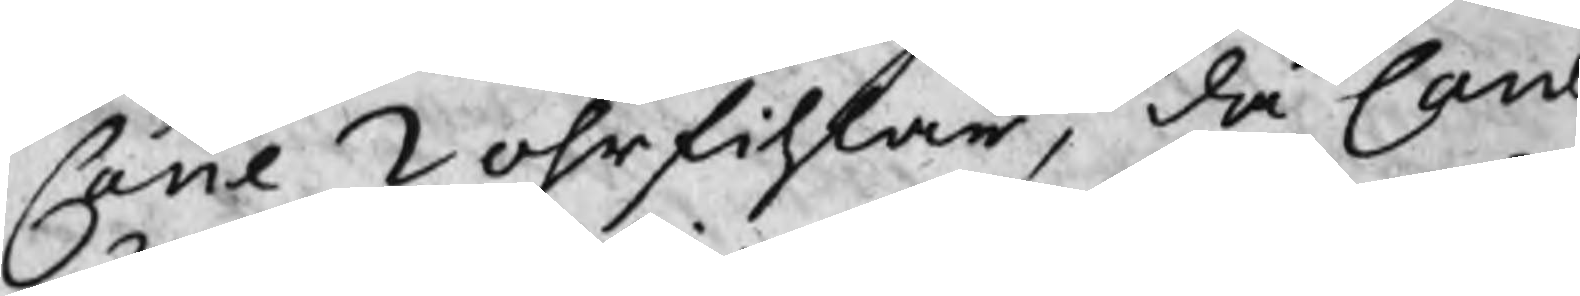Cane 2 öhrfihlar, då Cane
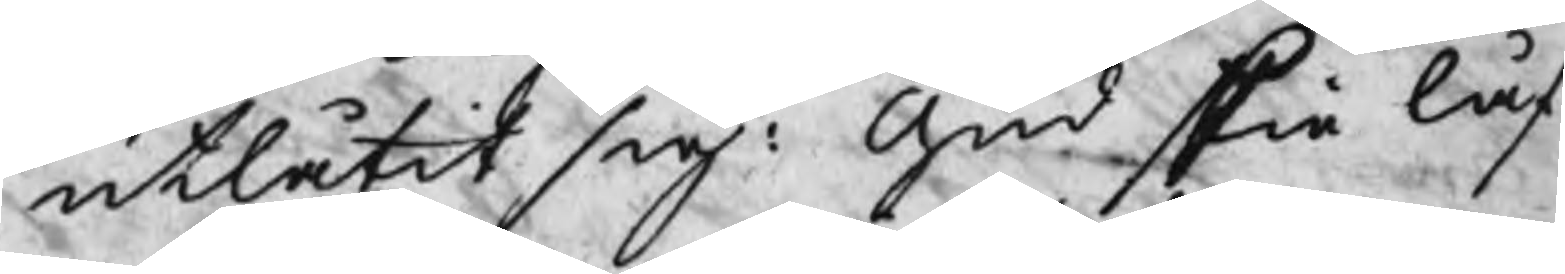utlåtit sig: Gud skie låf
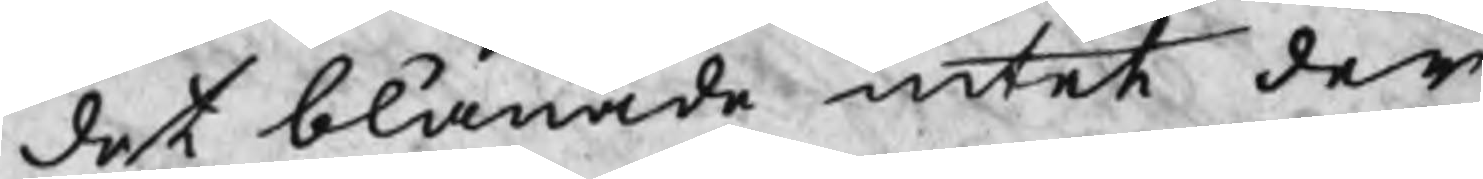det blånade intet der
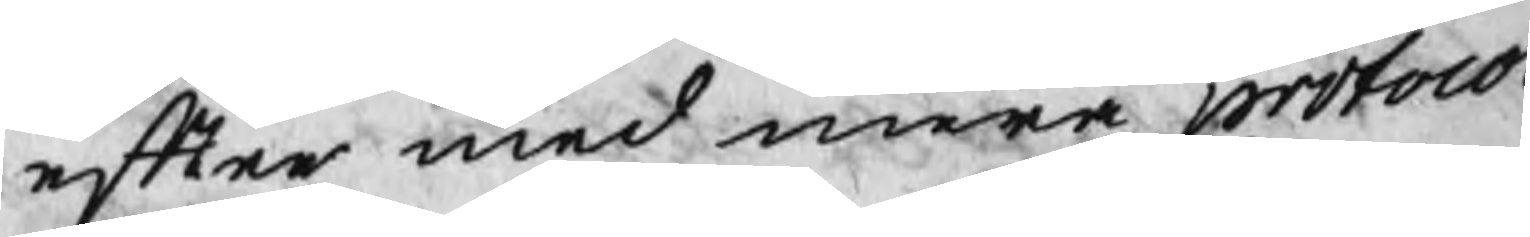efter med mera protocol¬
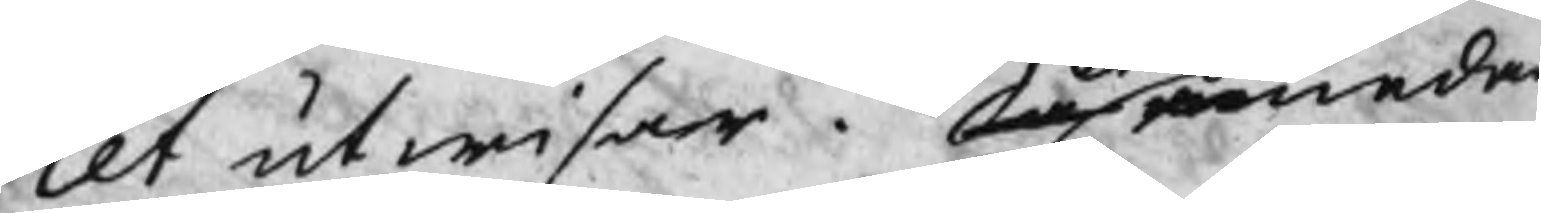let utwisar. Så emedan
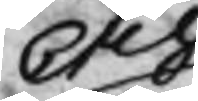Och
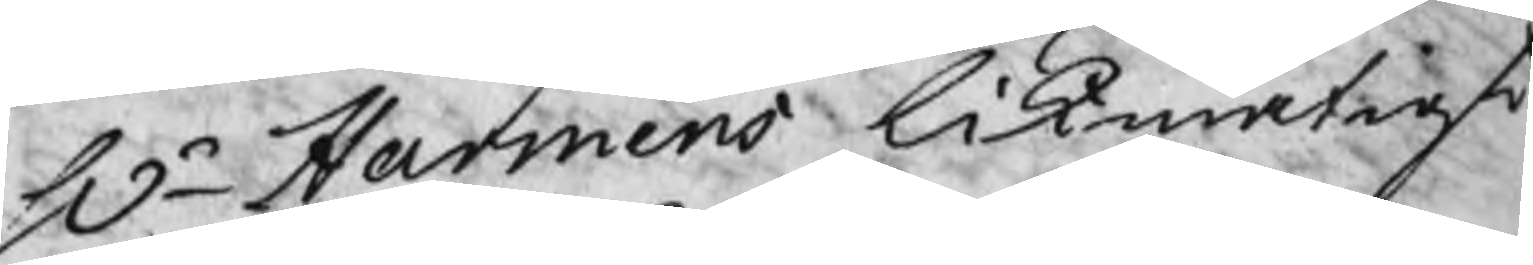Hr Harmens likmätigt
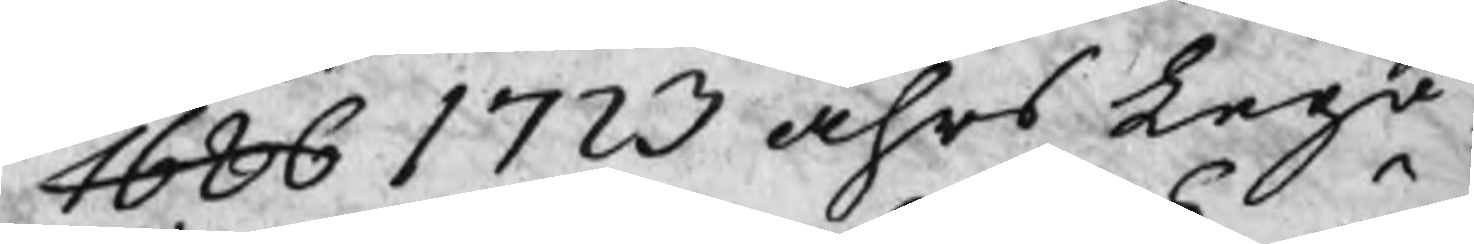1686 1723 åhrs Lego
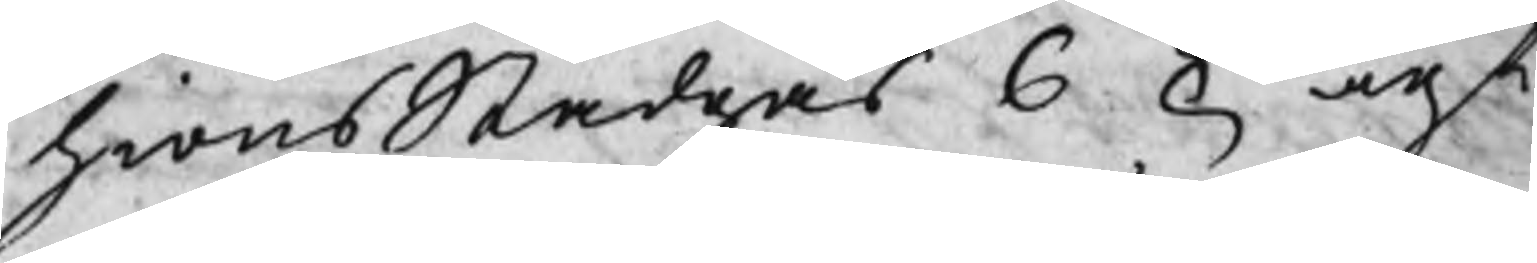hionsStadgas 6 § ägt
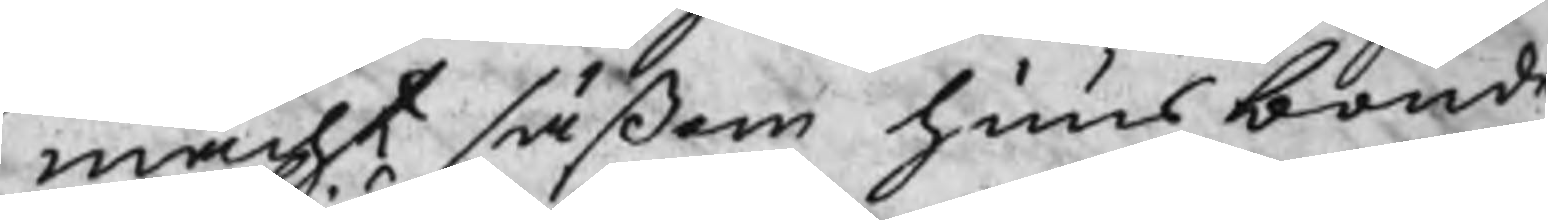macht såsom huusbonde
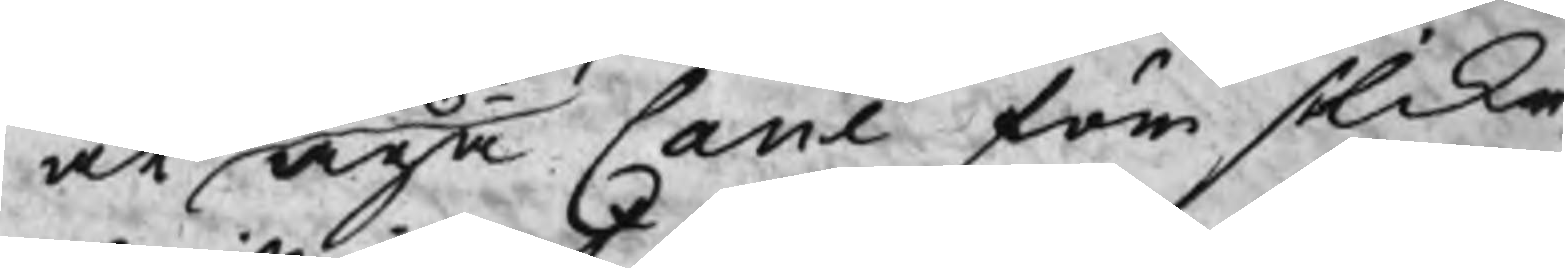at aga Cane för slika
